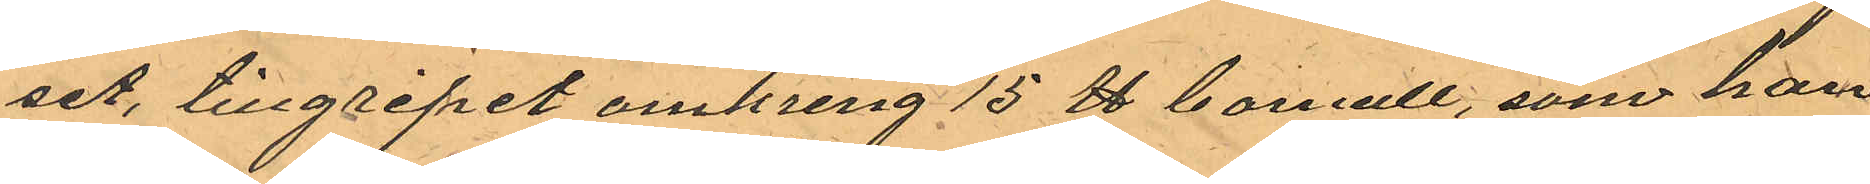set, tillgripet omkring 15 ℔ bomull, som han
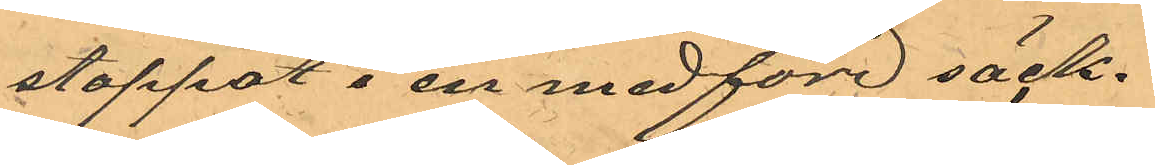stoppat i en medförd säck.
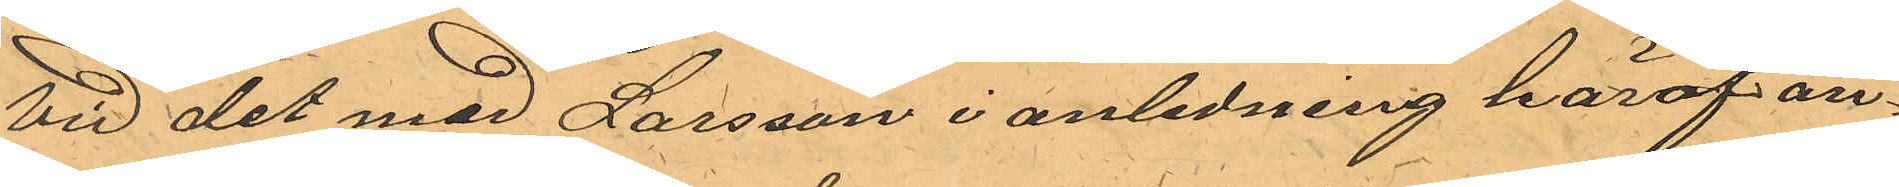Vid det med Larsson i anledning häraf a¬
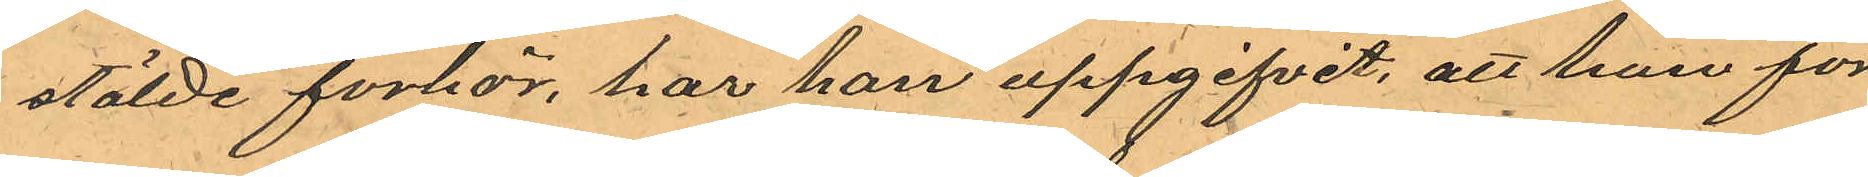stälde förhör, har han uppgifvit, att han för
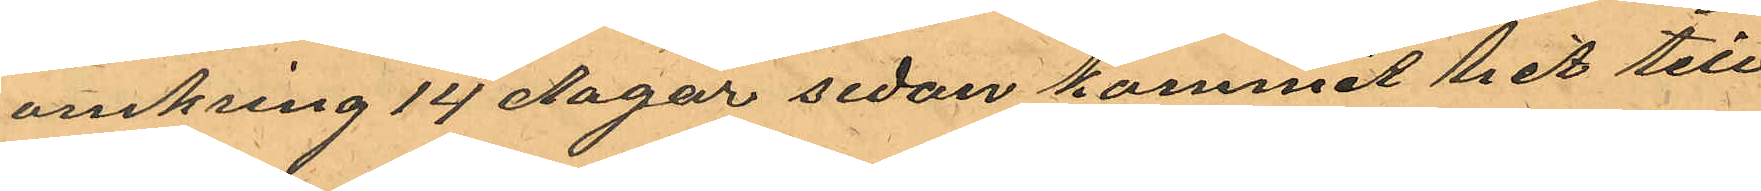omkring 14 dagar sedan kommit hit till
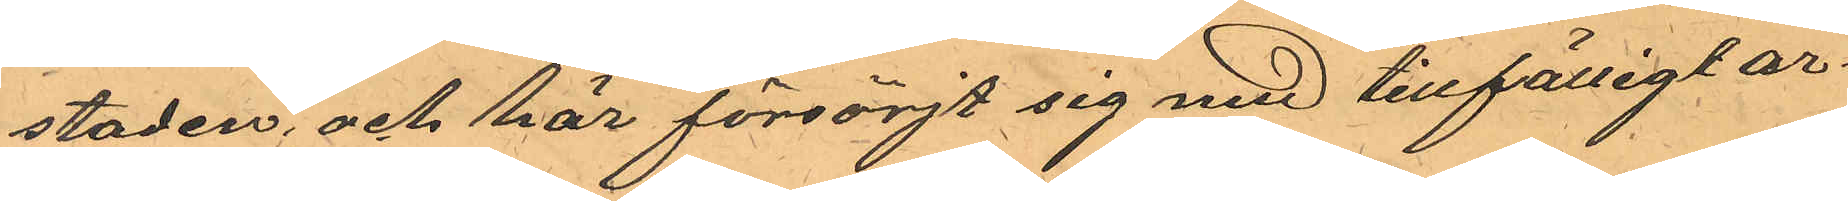staden, och här försörjt sig med tillfälligt ar¬
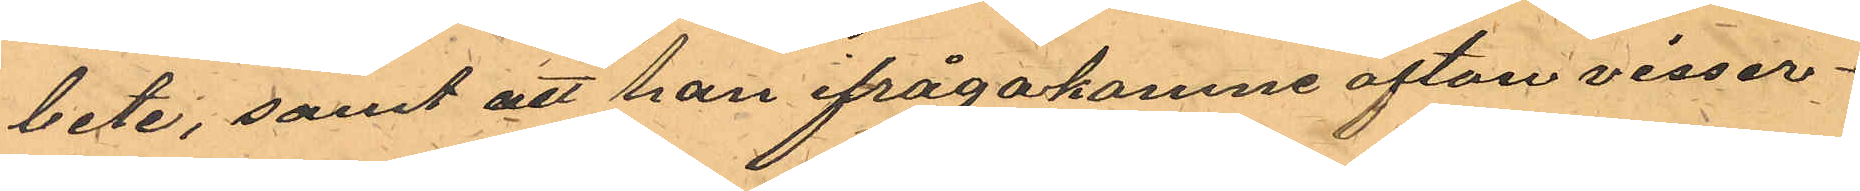bete, samt att han ifrågakomne afton visser¬
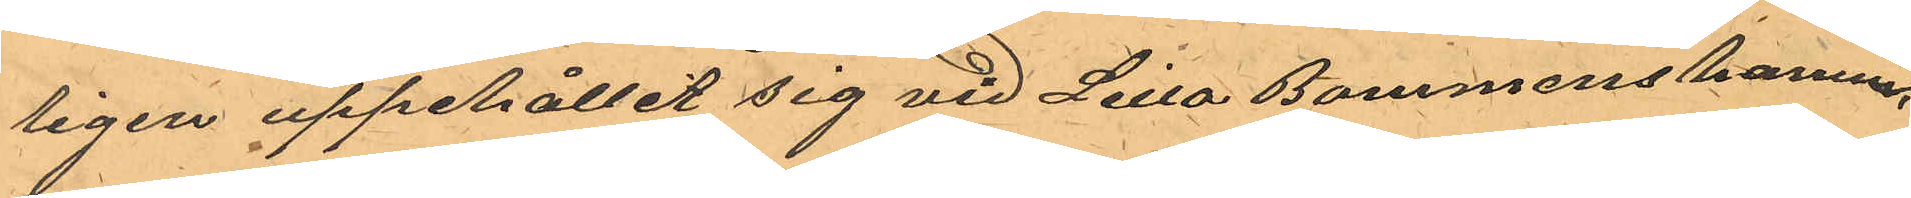ligen uppehållit sig vid Lilla Bommens hamn,
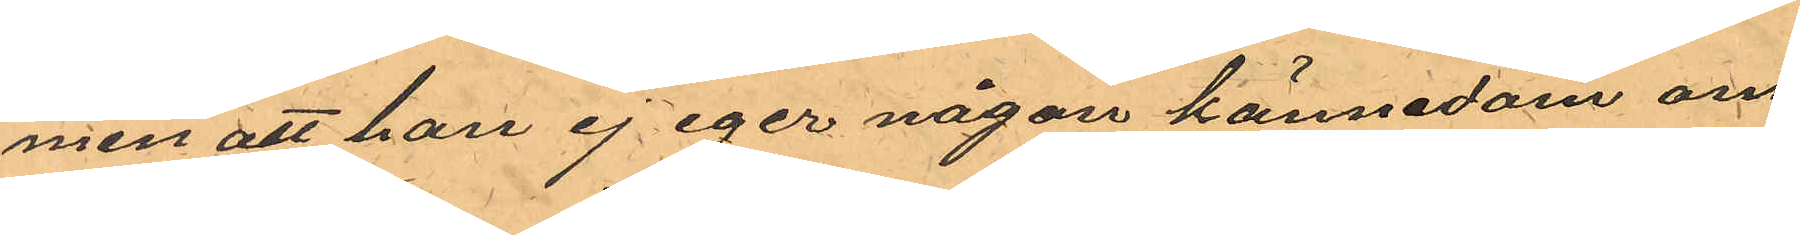men att han ej eger någon kännedom om
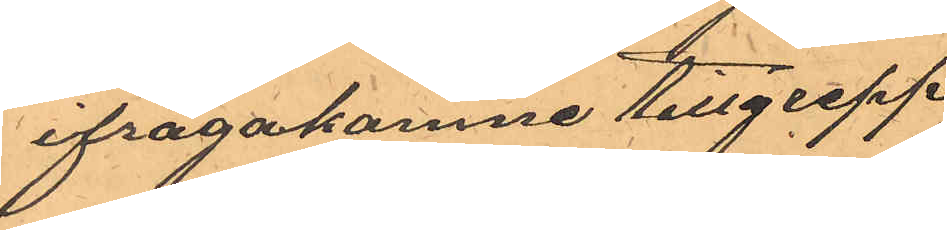ifrågakomne tillgrepp
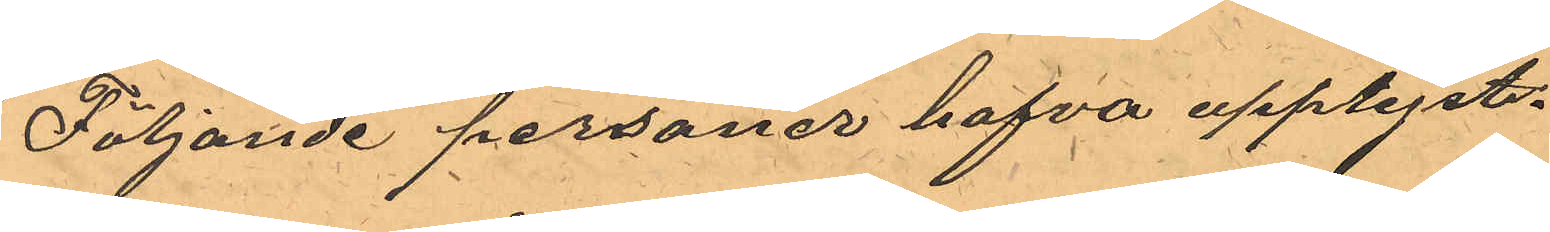Följande personer hafva upplyst.
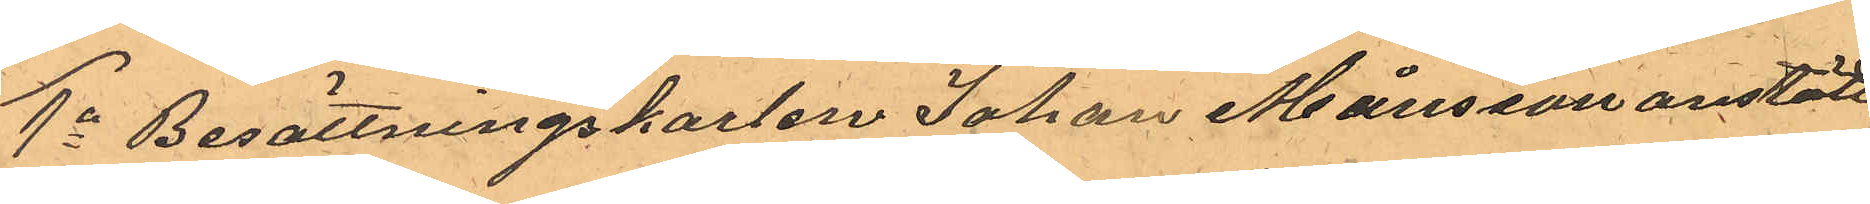1o Besättningskarlen Johan Månsson anstäld
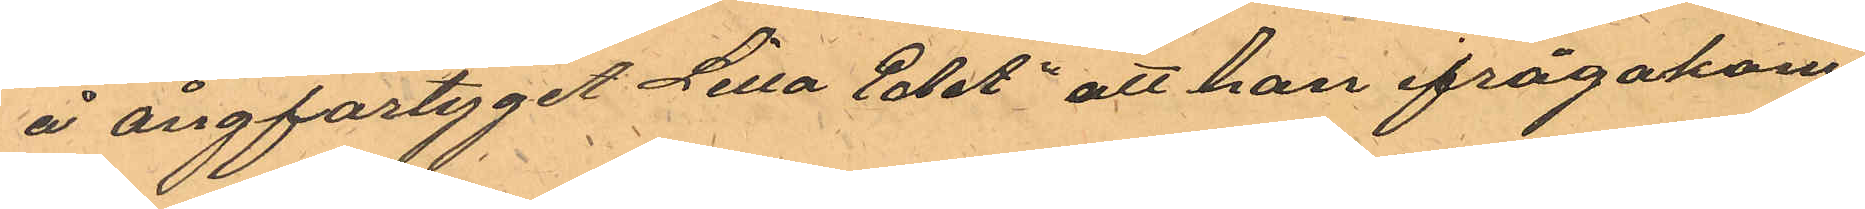å ångfartyget Lilla Edet" att han ifrågakom¬
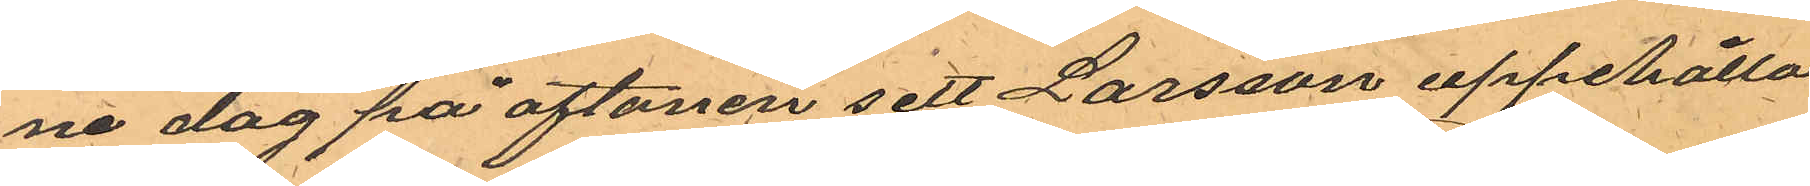ne dag på aftonen sett Larsson uppehålla
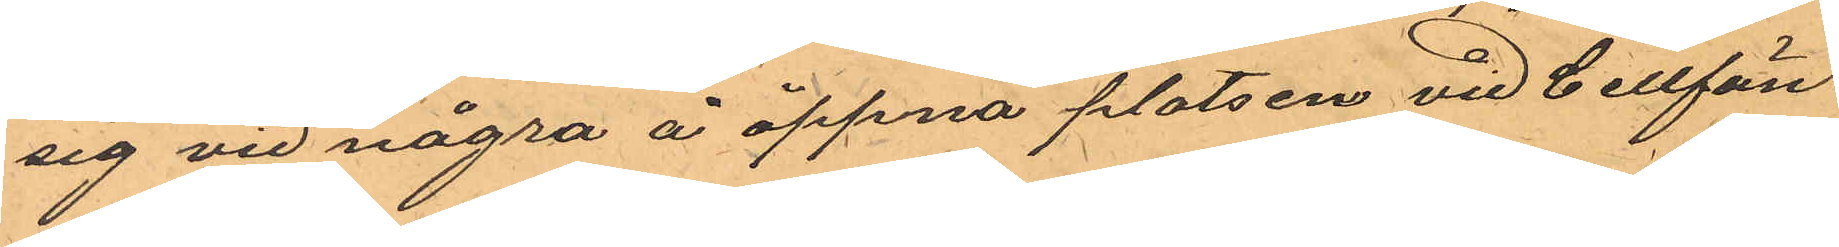sig vid några å öppna platsen vid Cellfän¬
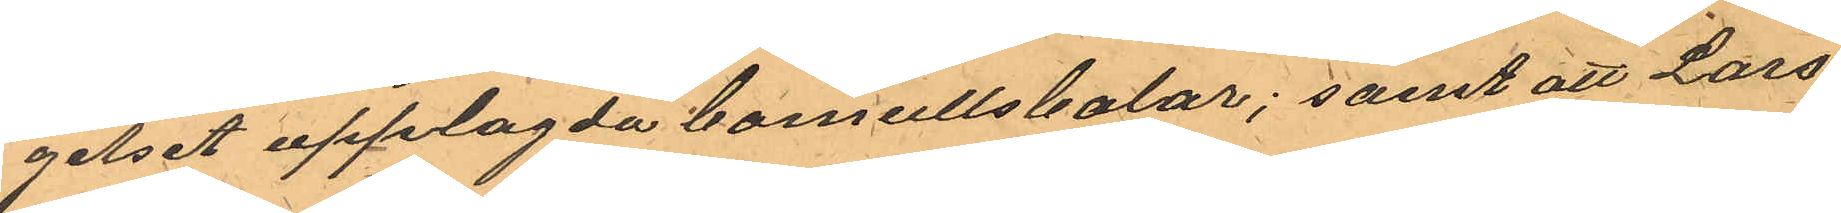gelset upplagda bomullsbalar; samt att Lars¬
